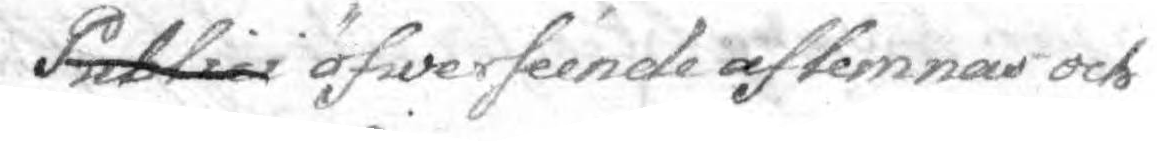Publici öfwerséende aflemnas och
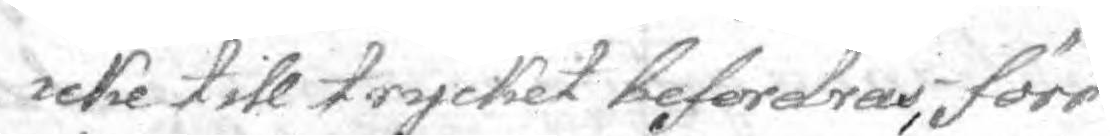icke till trycket befordras, förr
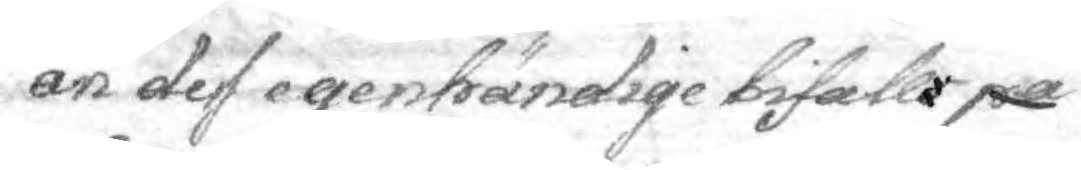än de egenhändige bifall på¬
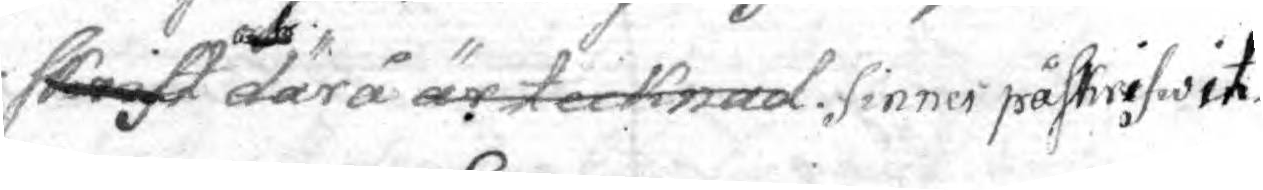skrift och därå är tecknad. fnnes påskrifwit.
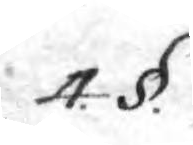4. §.
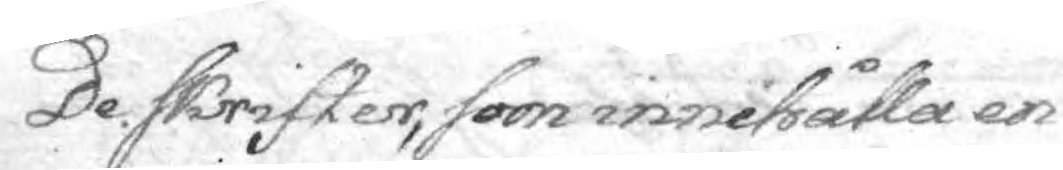De skrifter, som inehålla en
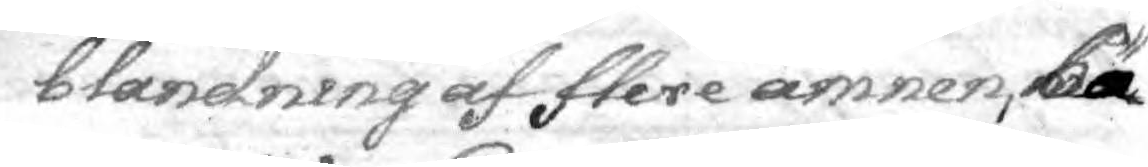blandning af flere ämnen, bä¬
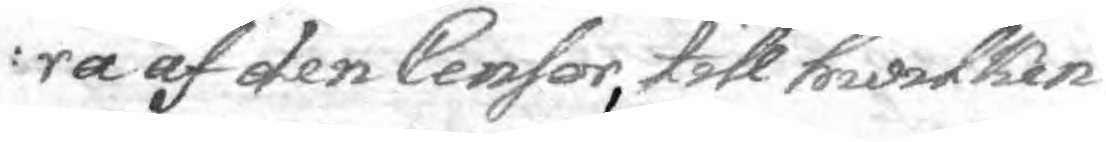ra af den Censor, till hwilken
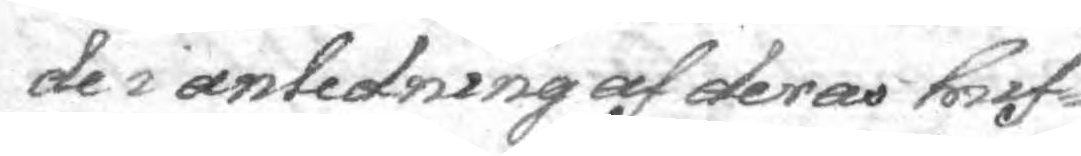de i anledning af deras huf¬
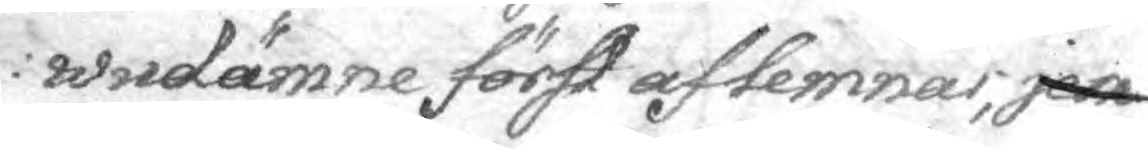wudämne föst aflemnas, jem¬
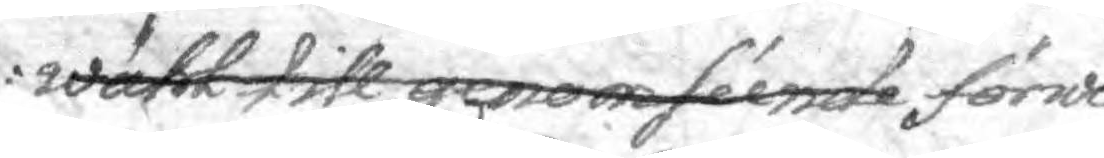wähl till genomséende förwi¬
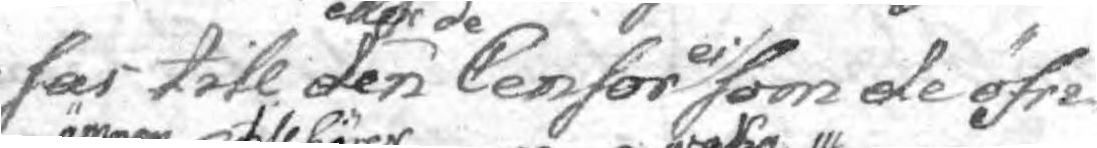sas till den eller de Censor ei som de öfri¬
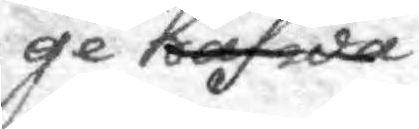ge hafwa
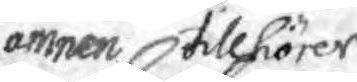ämnen tillhörer
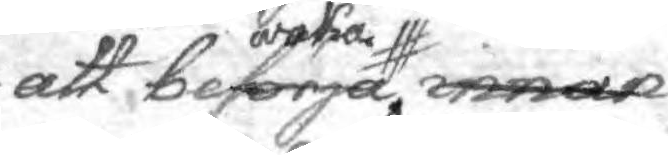att besörja innan waka
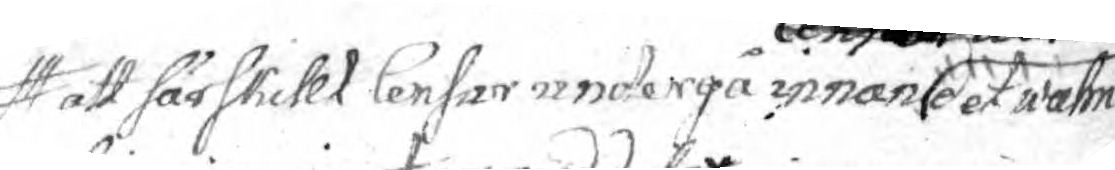att särskillt Censor undergå innan Censor Librorum det wahn¬
